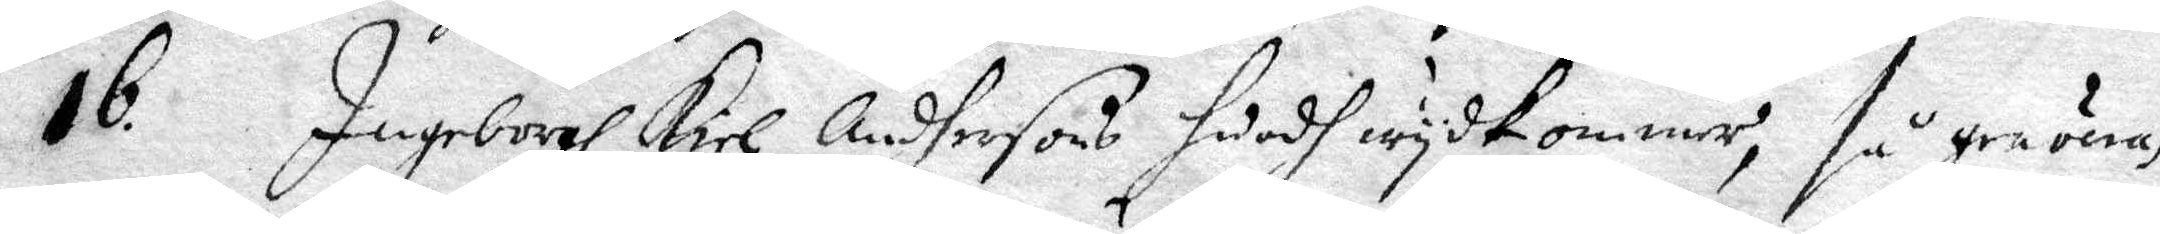16. Ingeborgh Kiel Andersons huadh wydkommer, så graveras
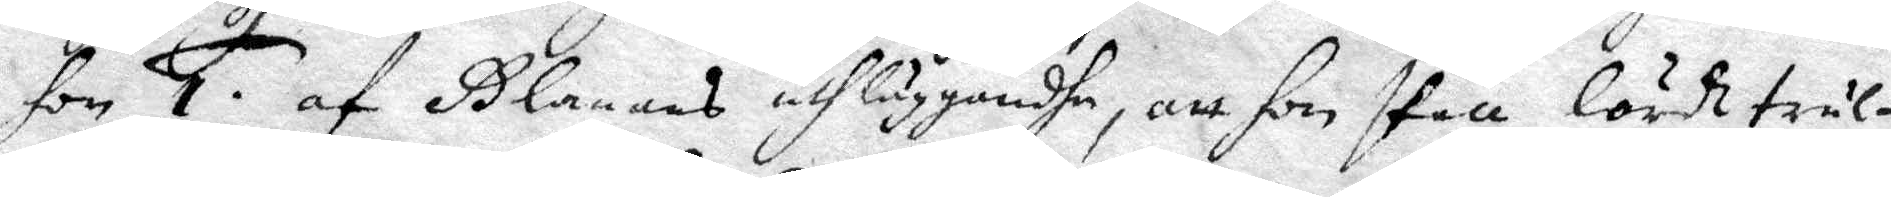hon 1. af Glanans uthläggandhe, att hon skall lärdt trul¬
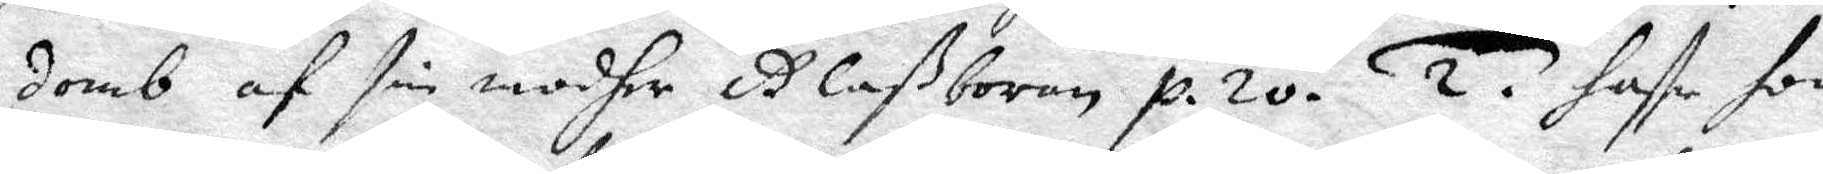domb af sin modher Glaßboran p. 20. 2. haffr hon
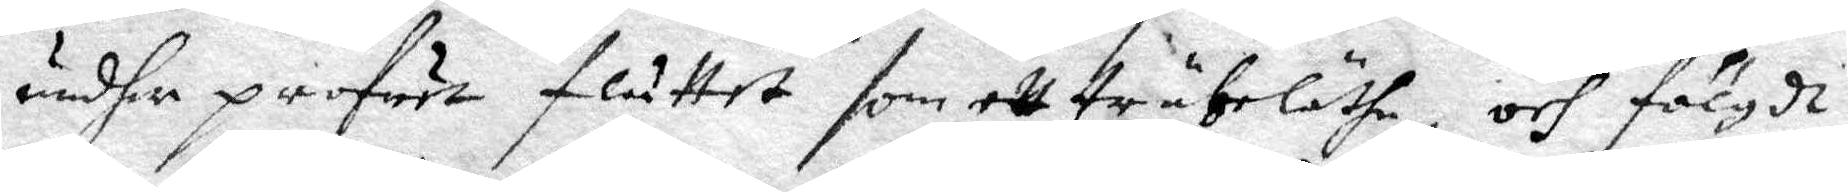undher profuet fluttet som ett träbeläthe, och föjgdt
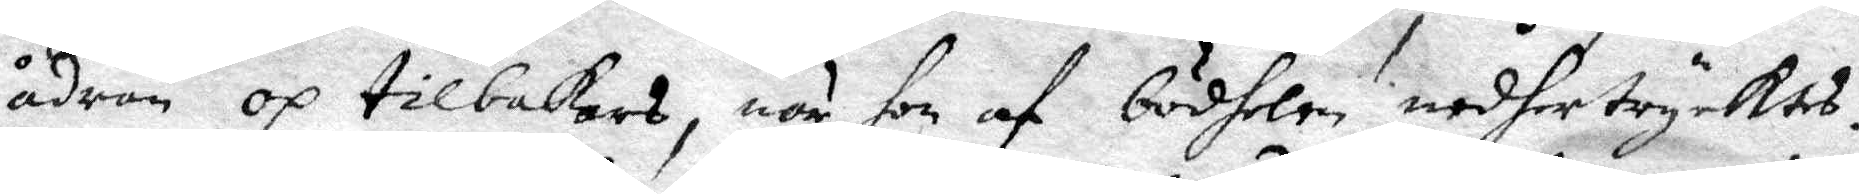ådran op tilbakars, när hon af bödhelen nedhertrycktes.
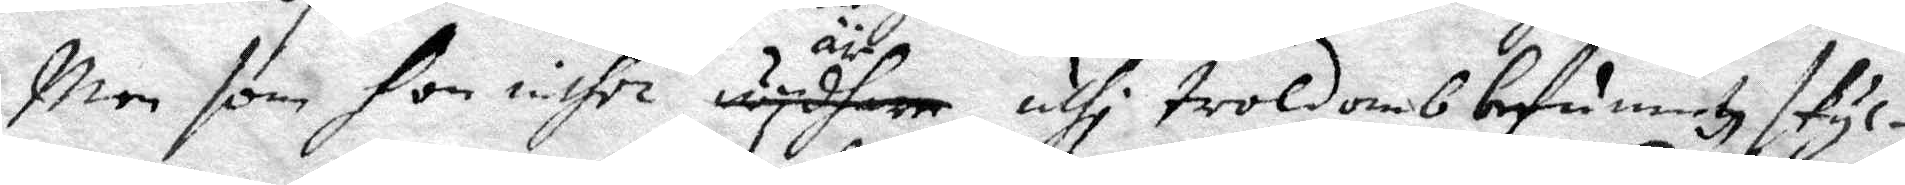Men som hon inthet äre uthi troldomb befunnetz skyl¬
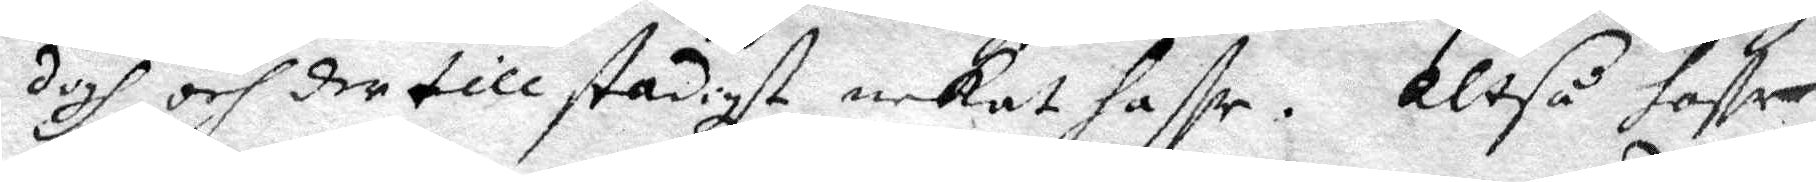digh och der till stadigt nekat haffr. Altså haffr
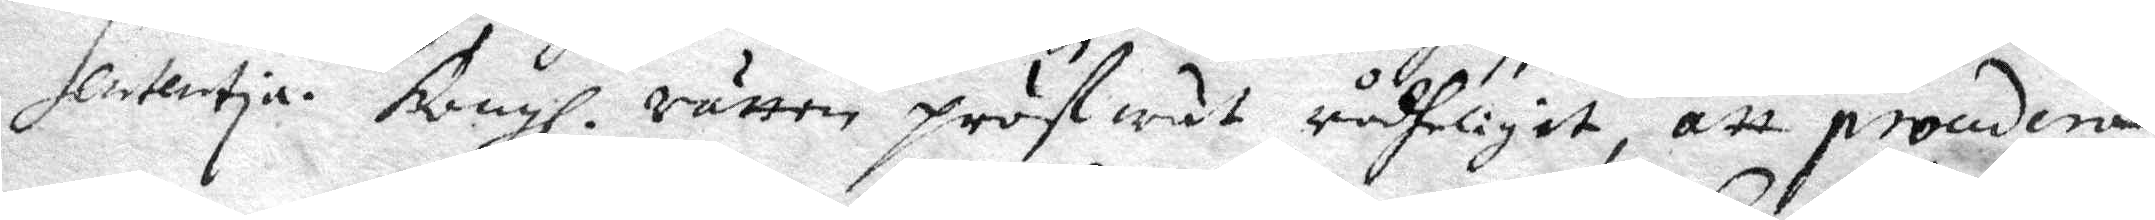Sententia. Kongl. rätten pröfwat rådheligit, att procudera
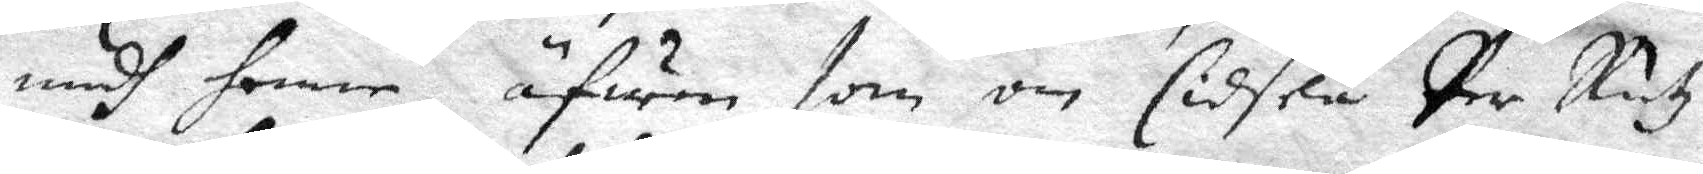medh henne fwen som om Cidsela Per Rutz
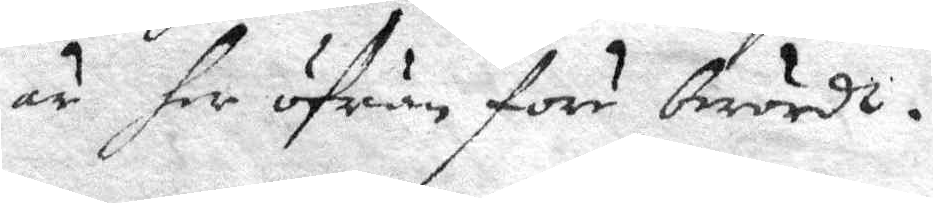är her öfuan före berördt.
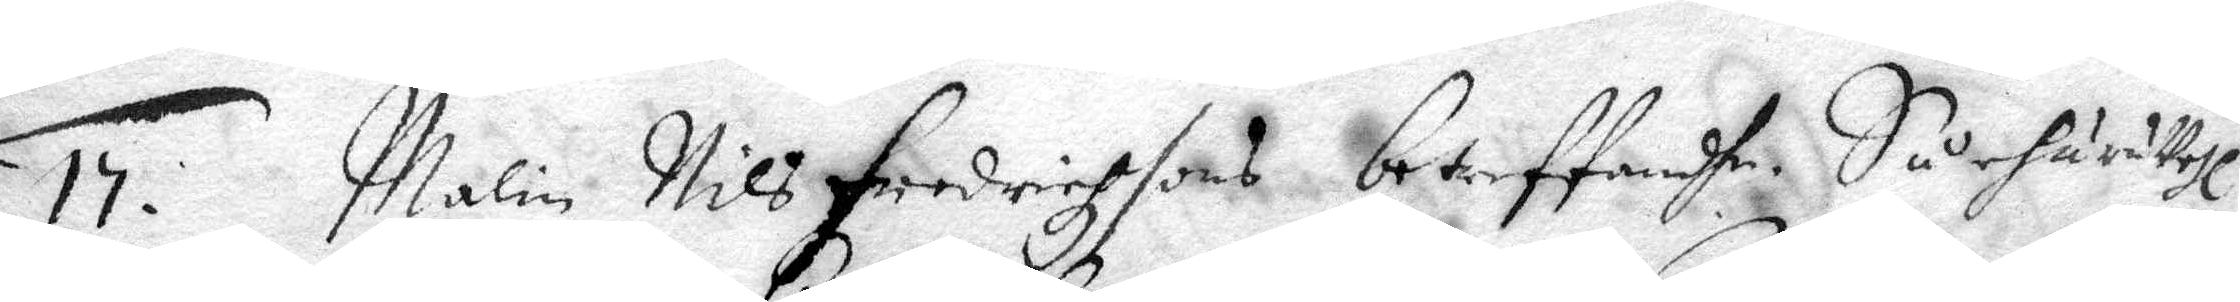15. Malin Nils Fredricgzsons betreffandhe. Så huru uthi
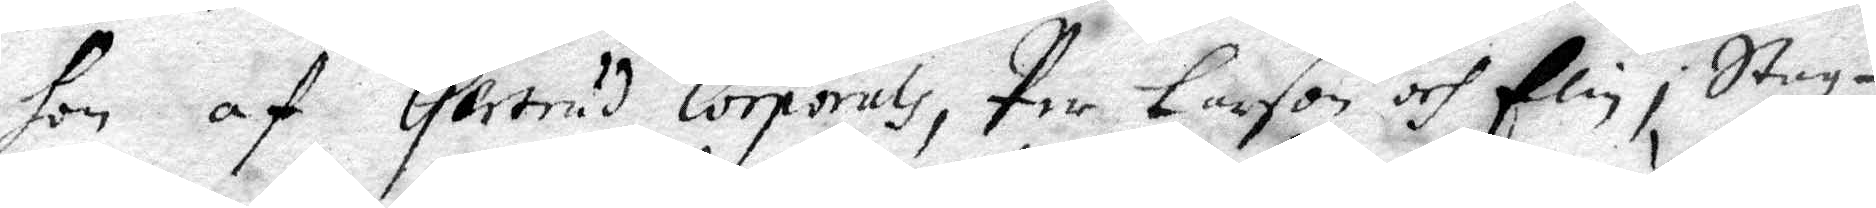hon af Gertrud Corprals, Per Larson och Elin i Staz¬
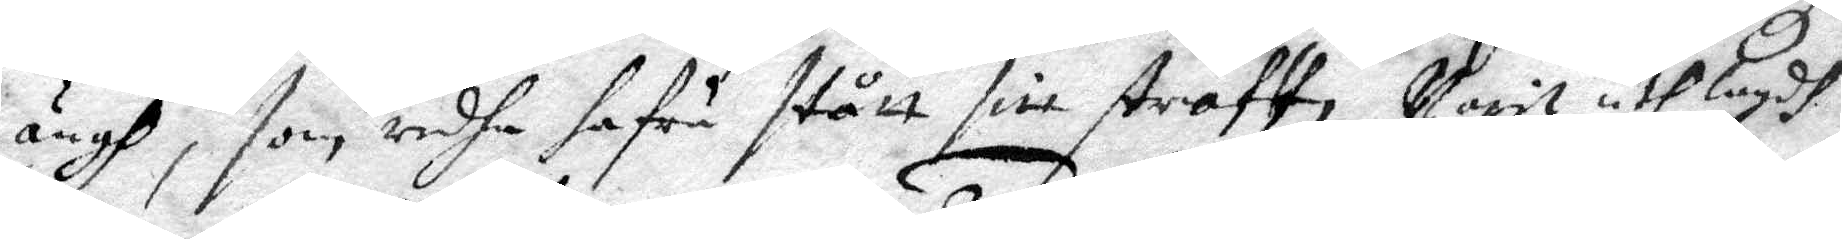ängh, som redha hafua stått sitt straff, Varit uthlagd
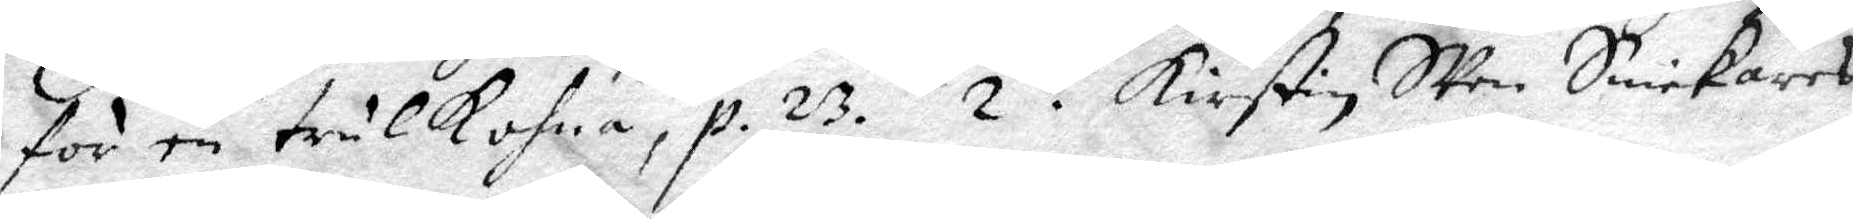för en trulkohna, p. 23. 2. Kirstin Sven Snickares
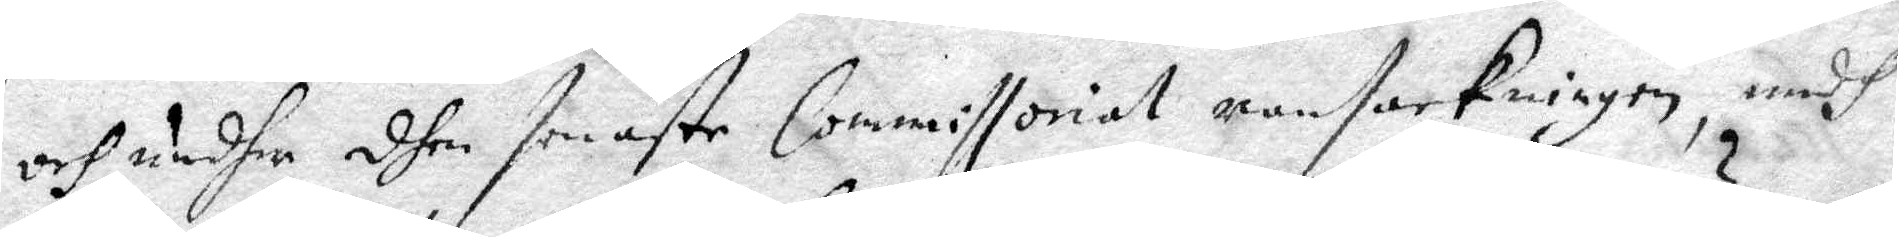och undher dhen senaste Commissorial ransakningen, medh
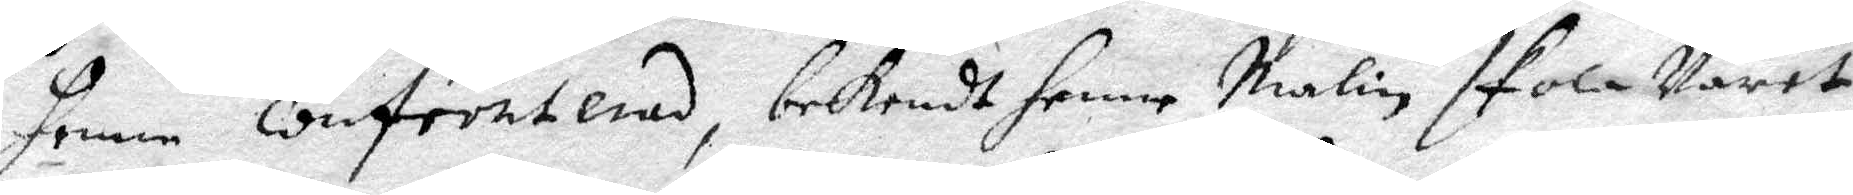henne confronterad, bekendt henne Malin skola Varet
